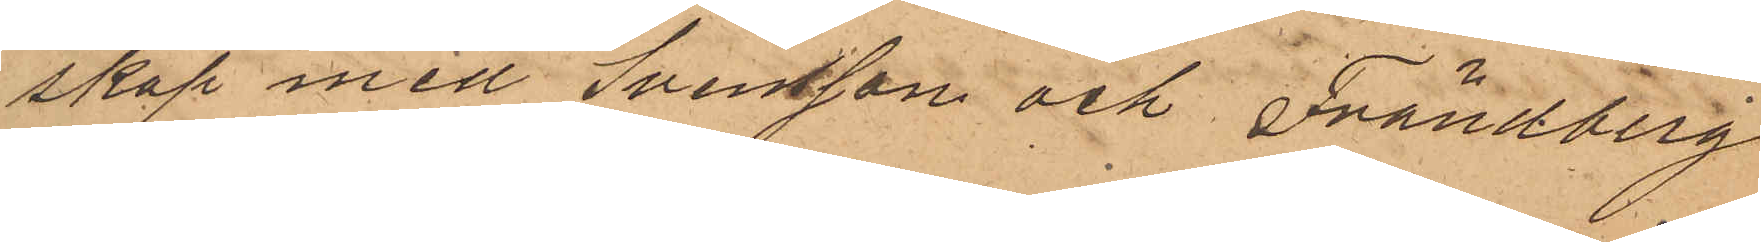skap med Svensson och Frändberg
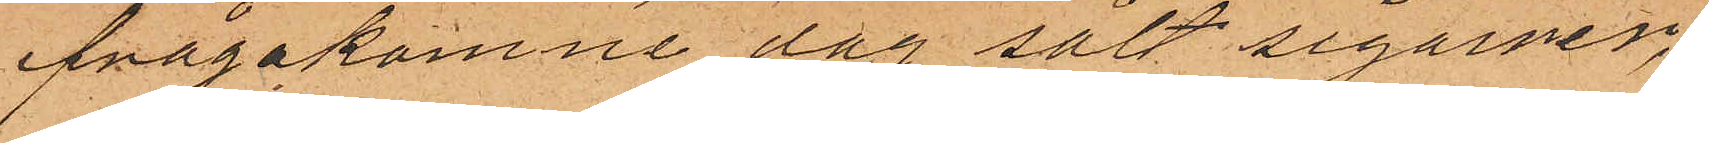ifrågakomne dag sålt sigarrer,
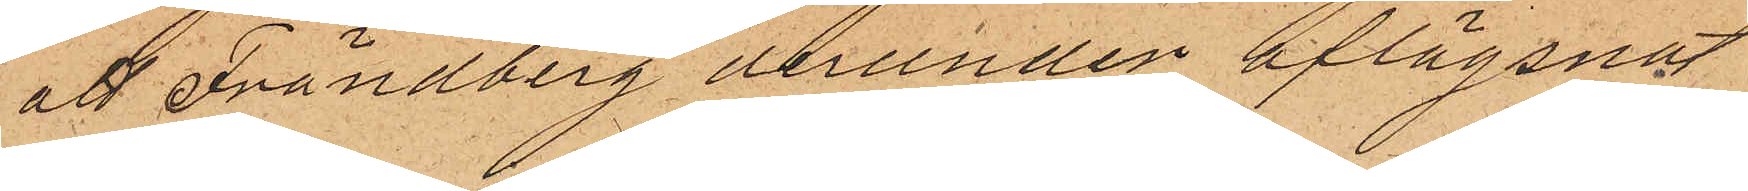att Frändberg derunder aflägsnat
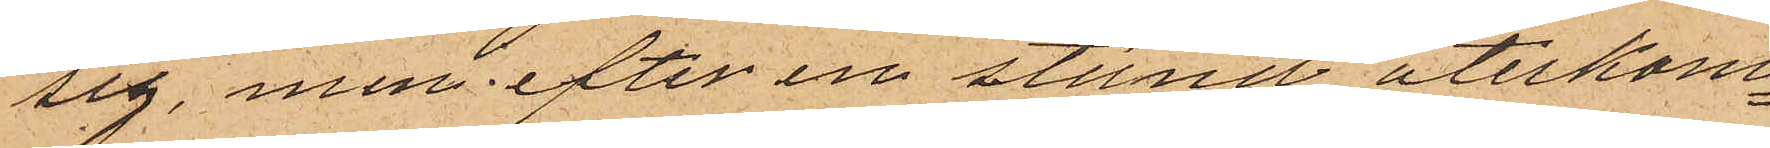sig, men efter en stund återkom¬
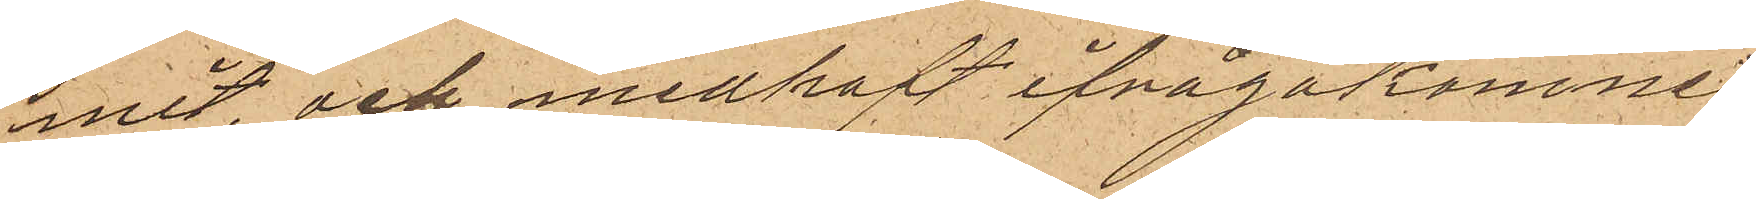mit, och medhaft ifrågakomne
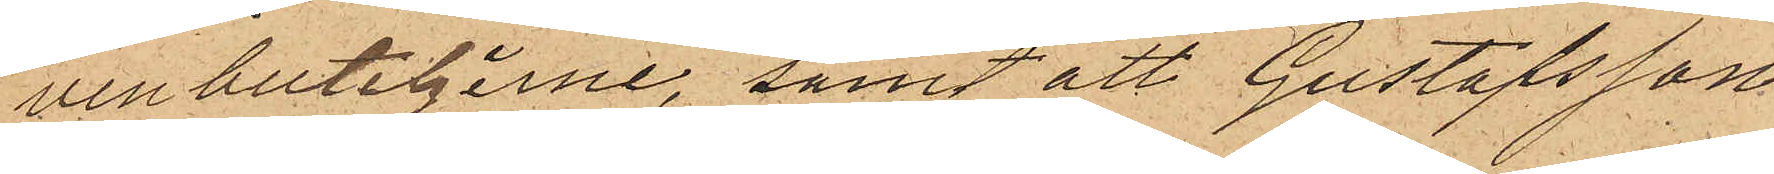vinbuteljerne, samt att Gustafsson
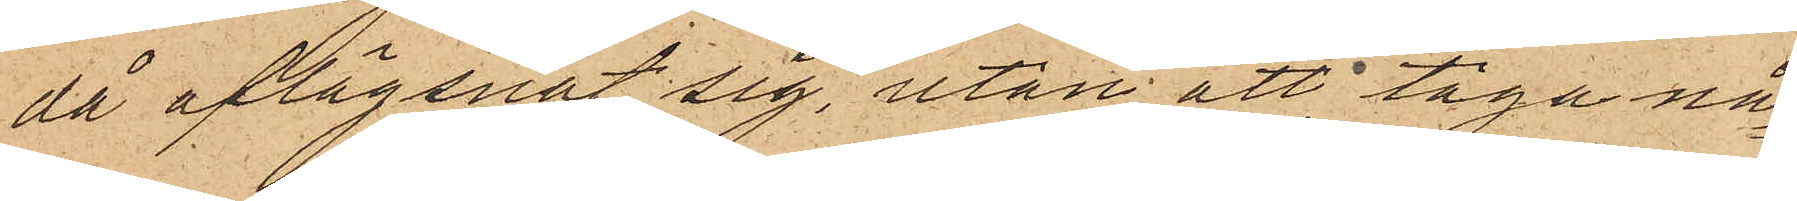då aflägsnat sig, utan att taga nå¬
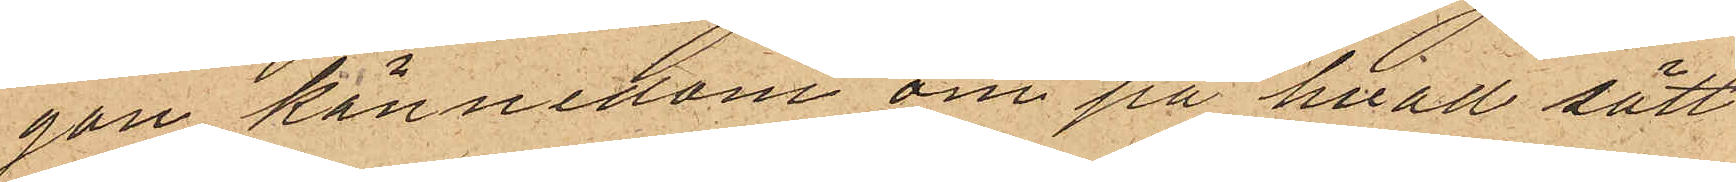gon kännedom om på hvad sätt
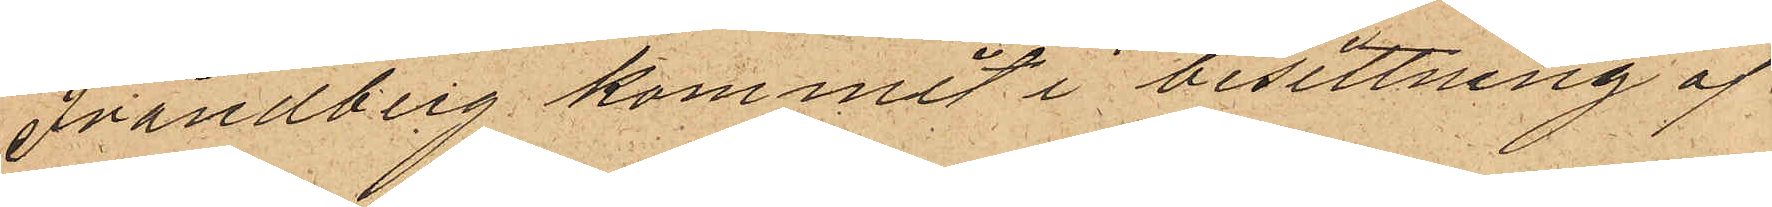Frändberg kommit i besittning af
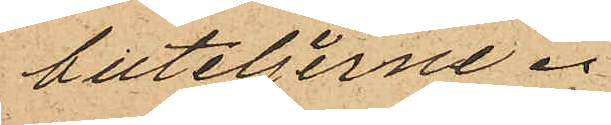buteljerne.
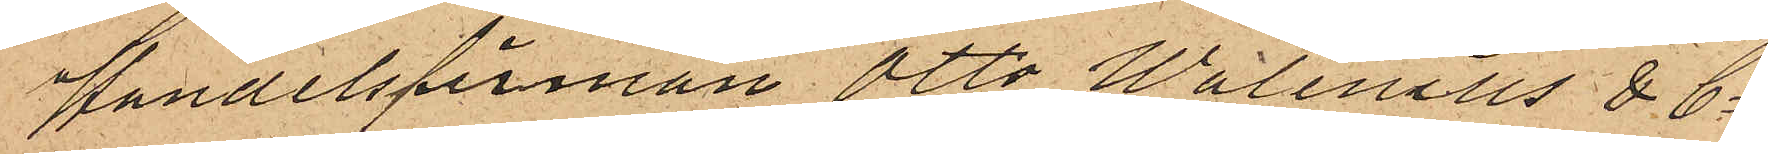Handelsfirman Otto Walenius & Co
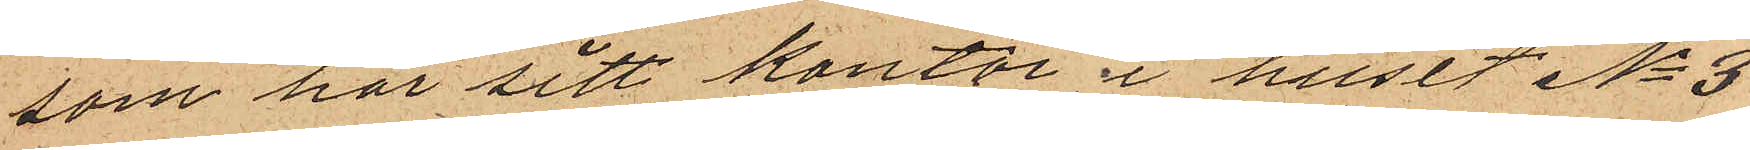som har sitt kontor i huset No 3
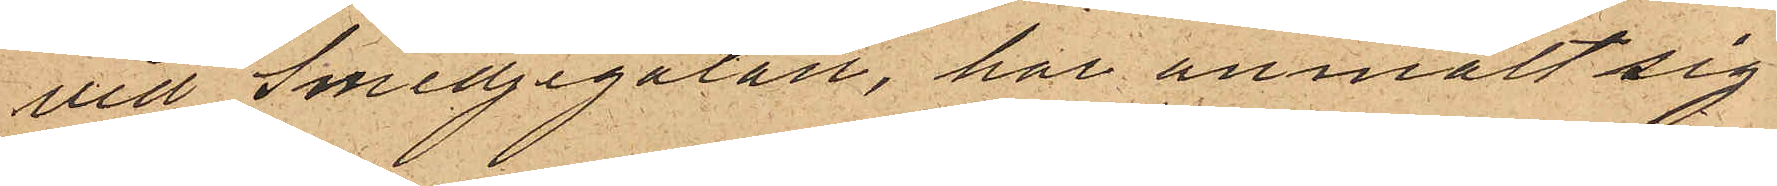vid Smedjegatan, har anmält sig
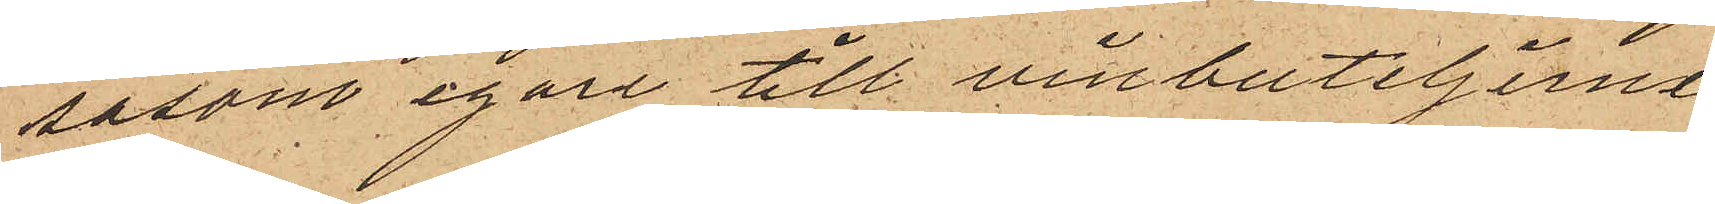såsom egare till vinbuteljerne
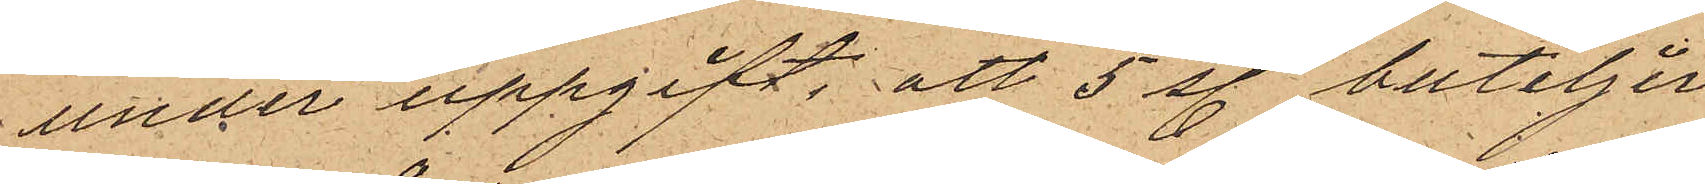under uppgift, att 5 st. buteljer
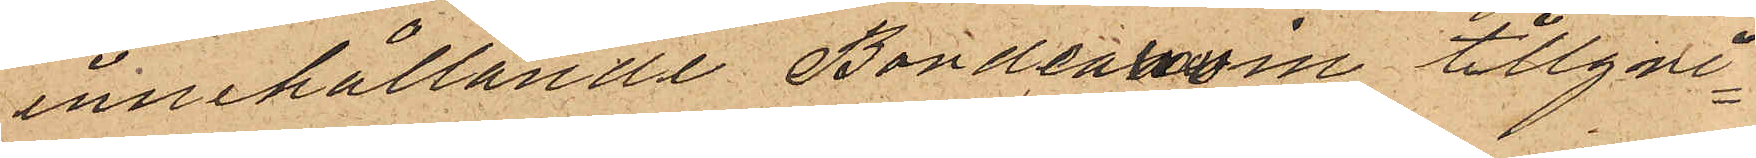innehållande Bordeauxvin tillgri¬
